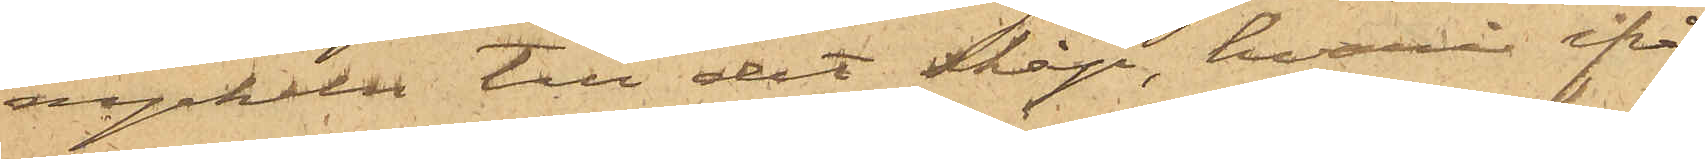nyckeln till det skåp, hvari ifrå¬
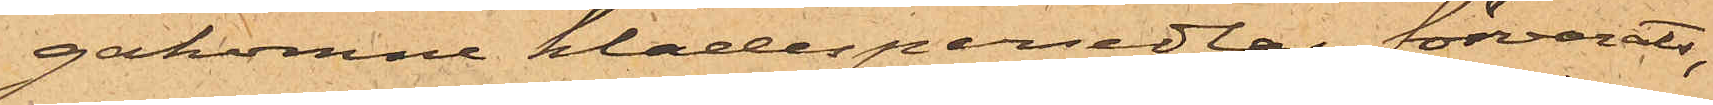gakomne klädespersedlar förvarats,
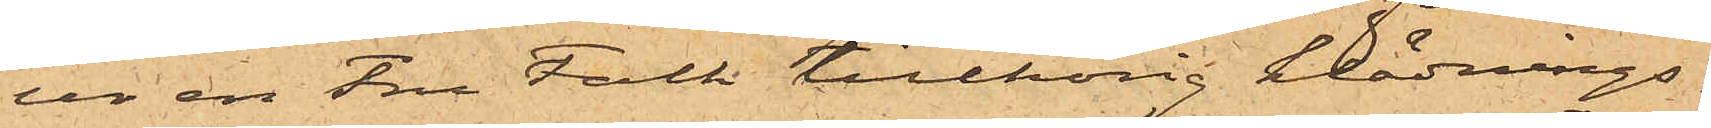ur en Fru Falk tillhörig klädnings¬
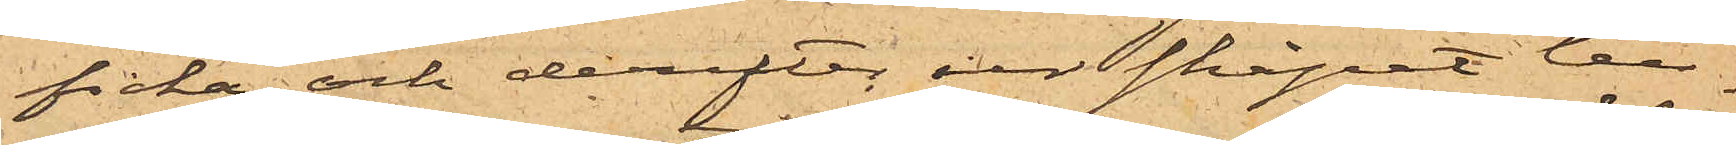ficka och derefter ur skåpet till¬
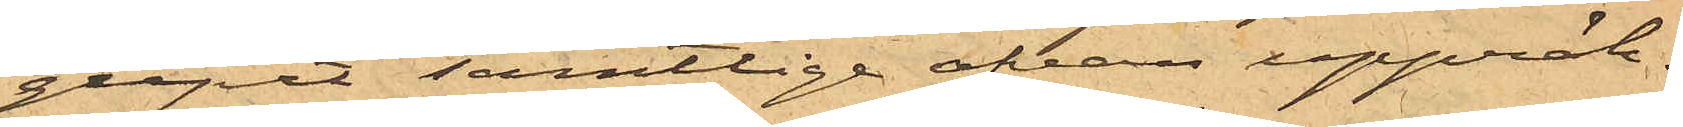gripit samtlige ofvan uppräk¬
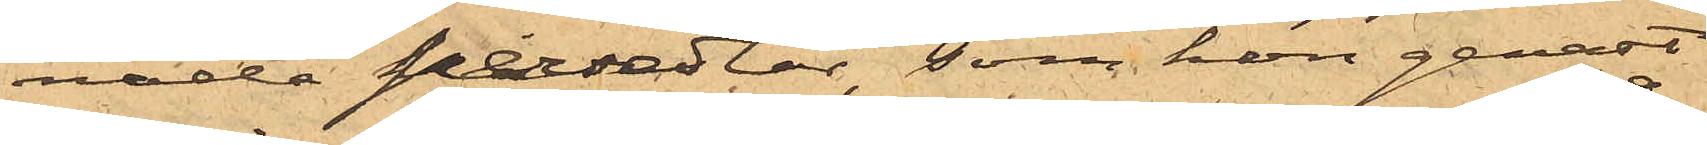nade persedlar, som hon genast
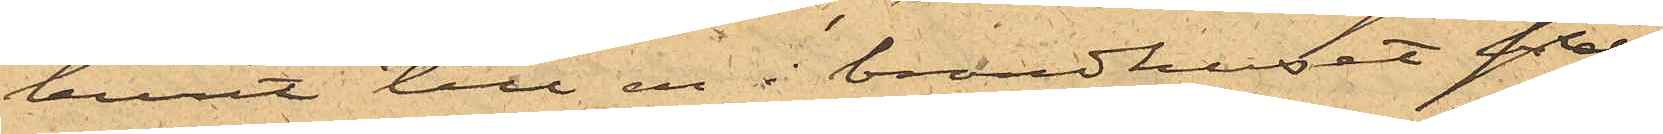burit till en i brandhuset på
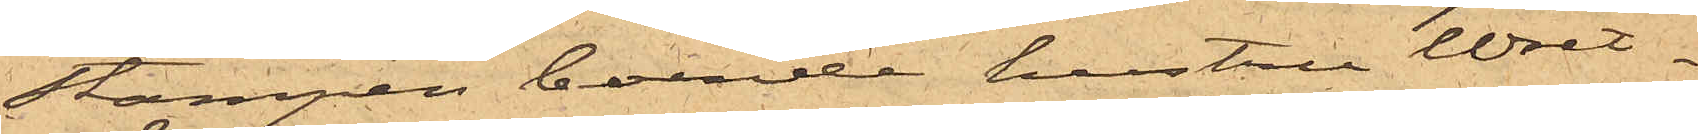Stampen boende hustru Wret¬
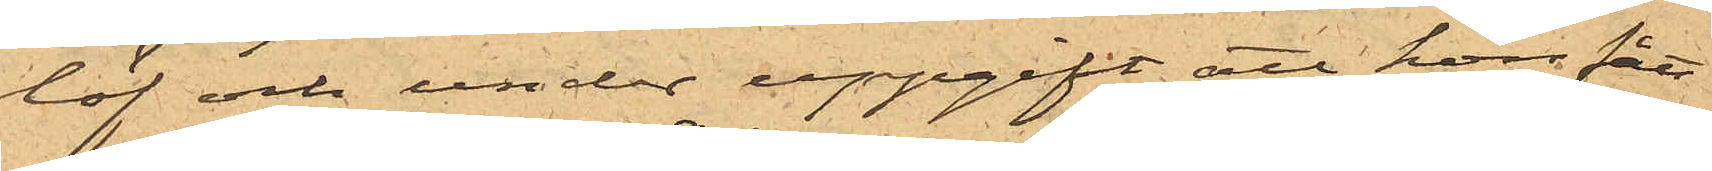löf och under uppgift att hon fått
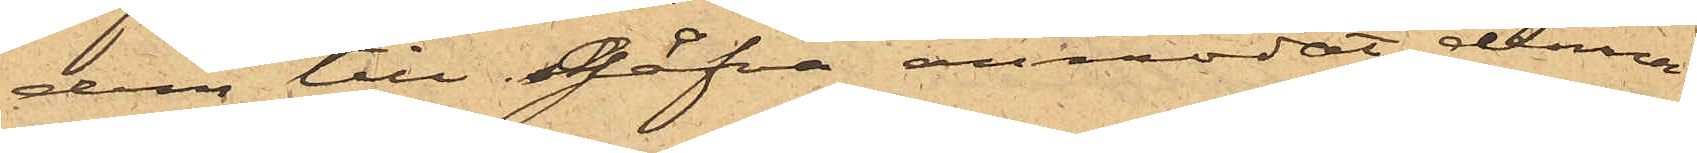dem till gåfva anmodat denna
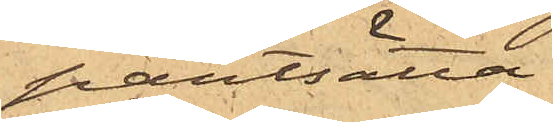pantsätta.
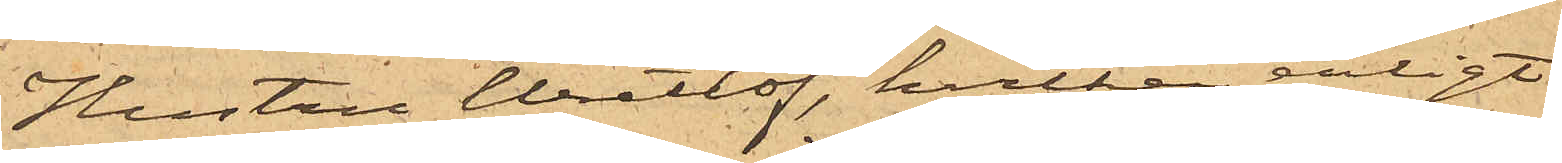Hustrun Wretlöf, hvilken, enligt
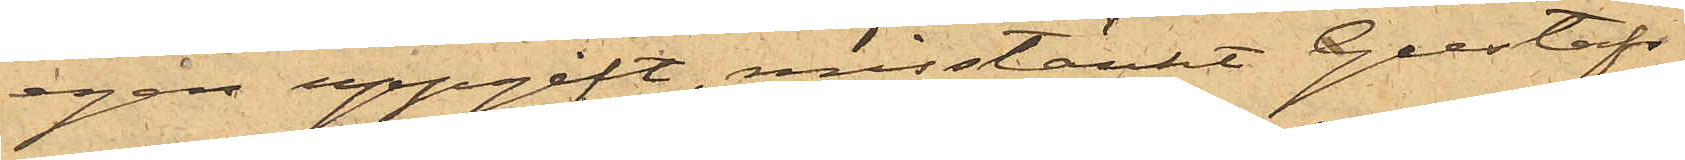egen uppgift, misstänkt Gustafs¬
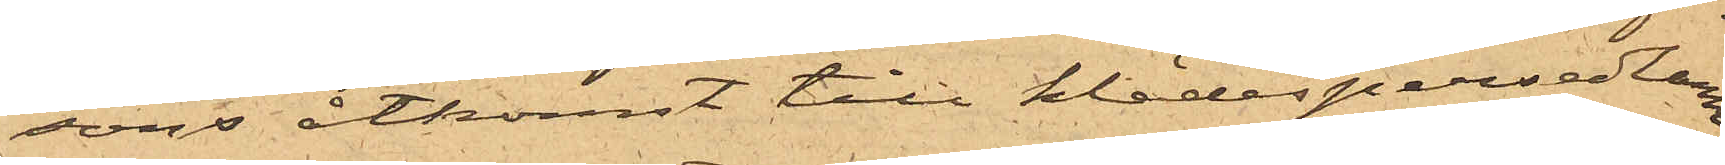sons åtkomst till klädespersedlarna
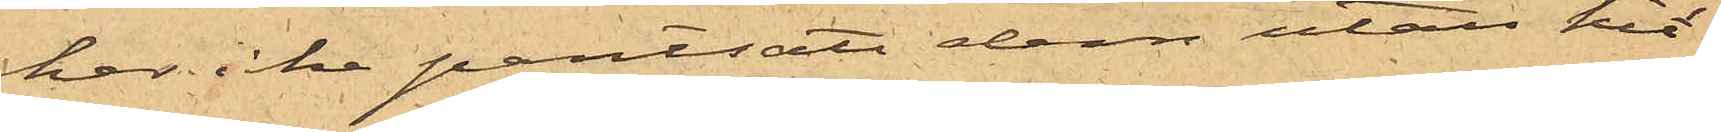har icke pantsatt dem utan hit¬
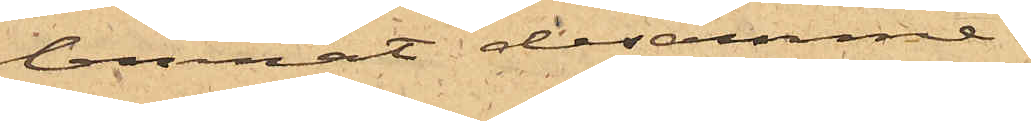lemnat desammme.
